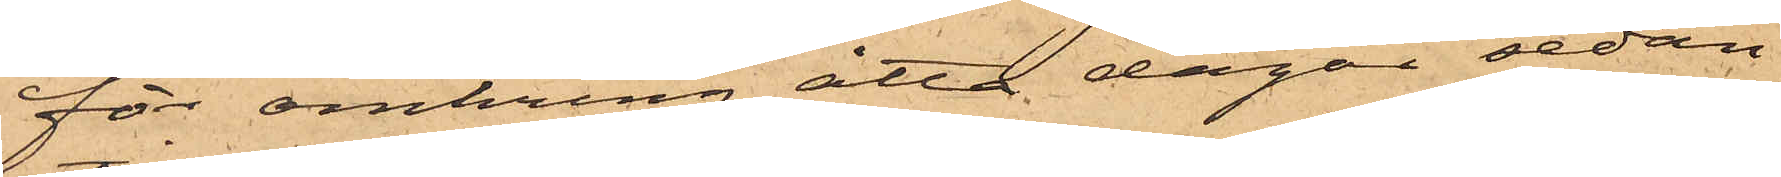för omkring åtta dagar sedan
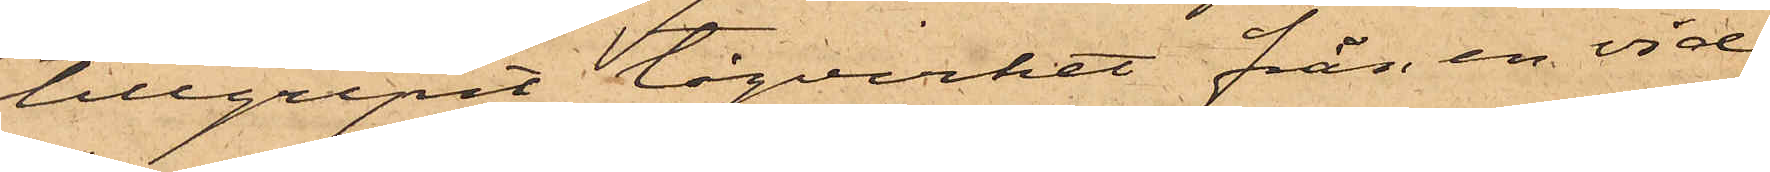tillgripit tågvirket från en vid
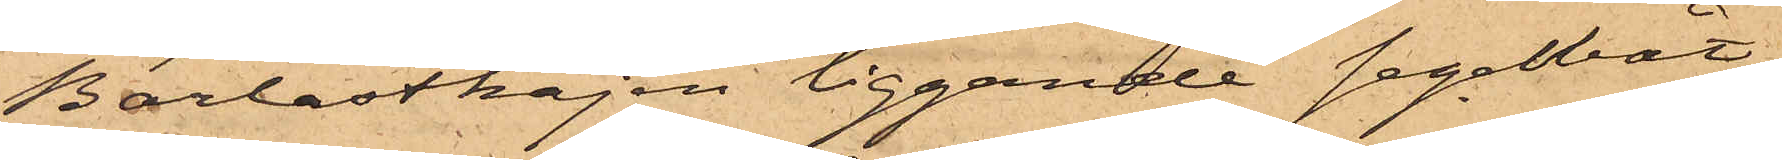Barlastkajen liggande segelbåt,
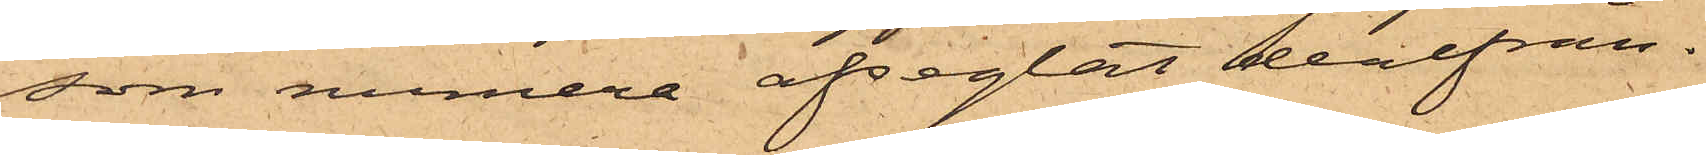som numera afseglat derifrån.
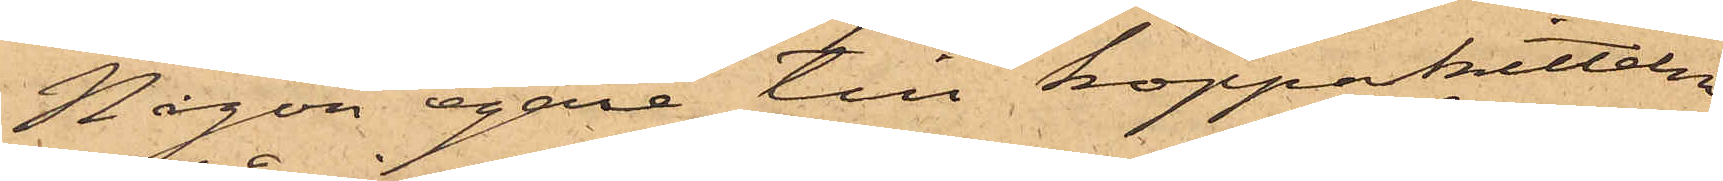Någon egare till kopparkitteln
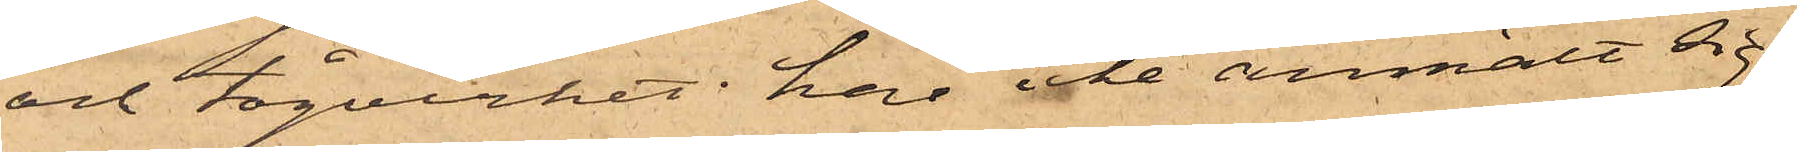och tågvirket har icke anmält sig.
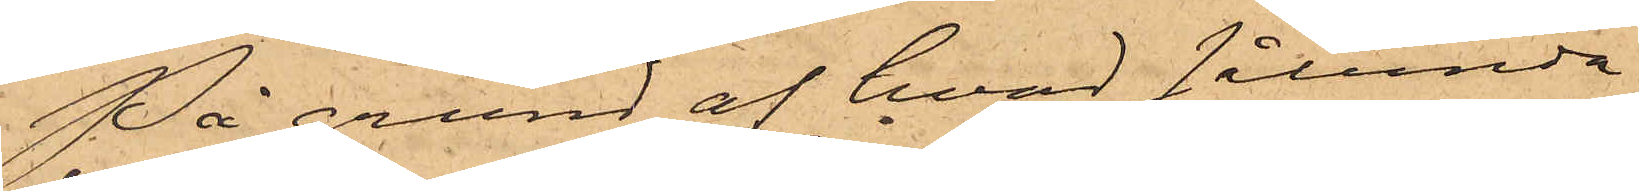På grund af hvad sålunda
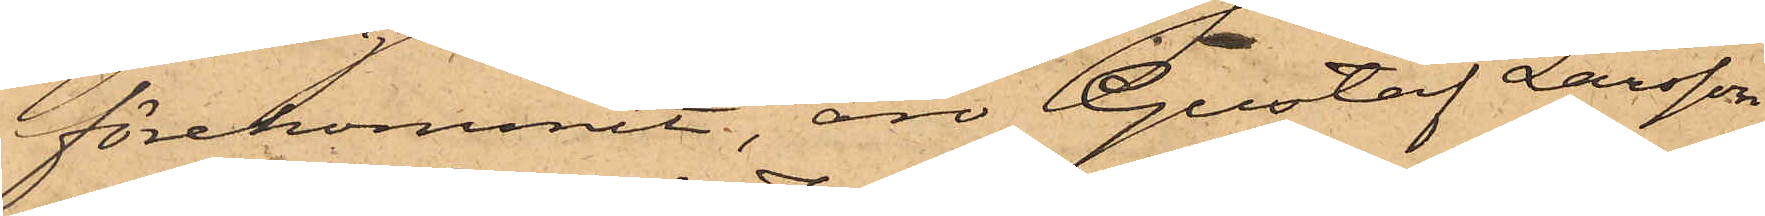förekommit, äro Gustaf Larsson
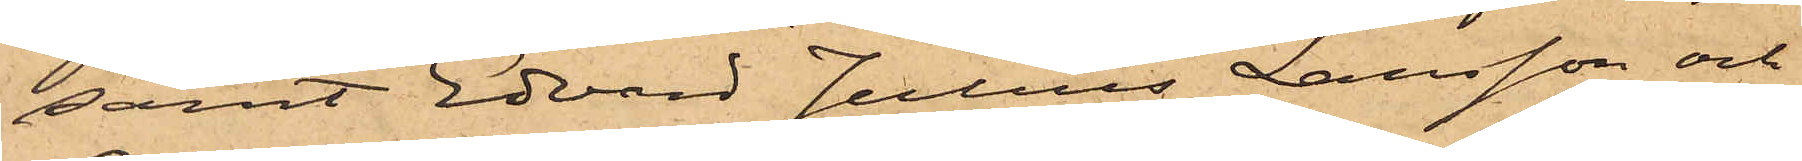samt Edvard Julius Larsson och
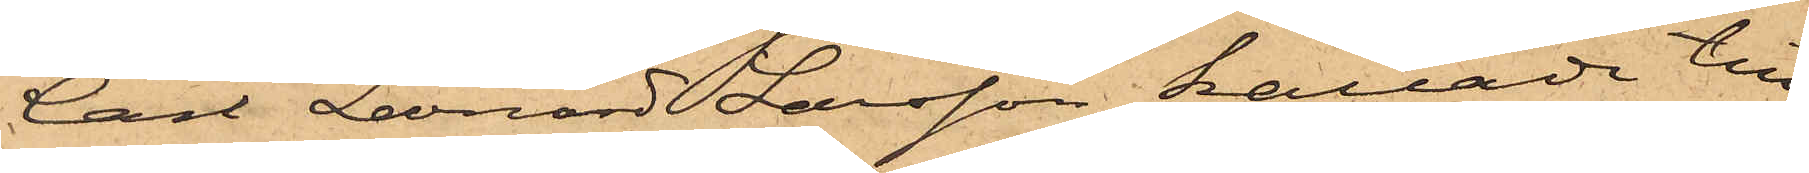Carl Leonard Larsson kallade till
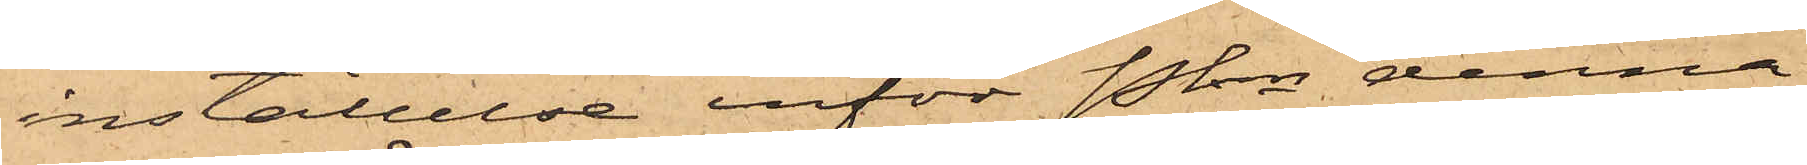inställelse inför Pkn denna
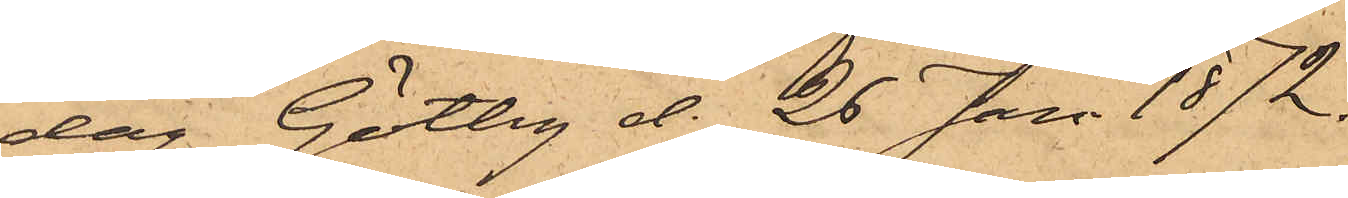dag. Götbg d. 26 Jan 1872.
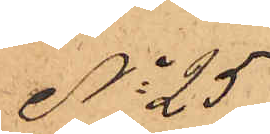No 25
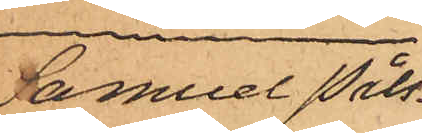Samuel Påls¬
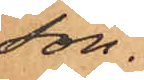son.
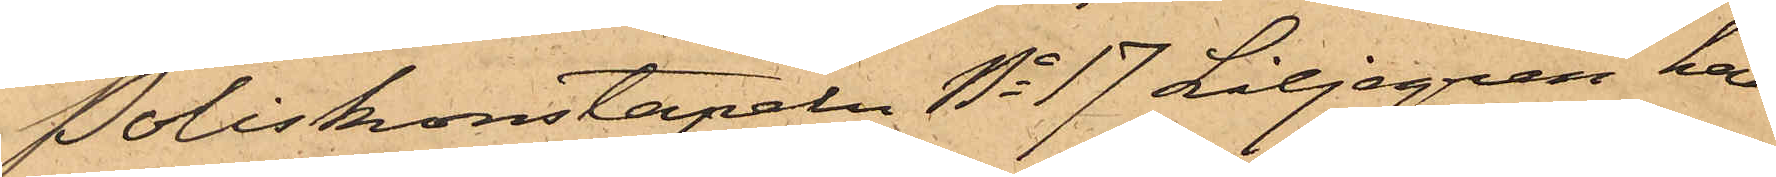Poliskonstapeln No 17 Liljegren har
